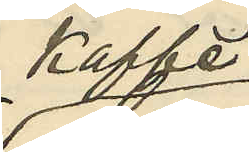kaffe
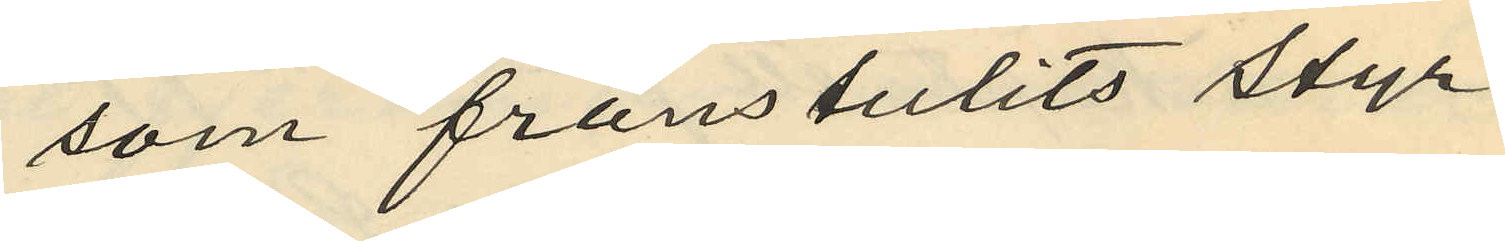som frånstulits styr¬
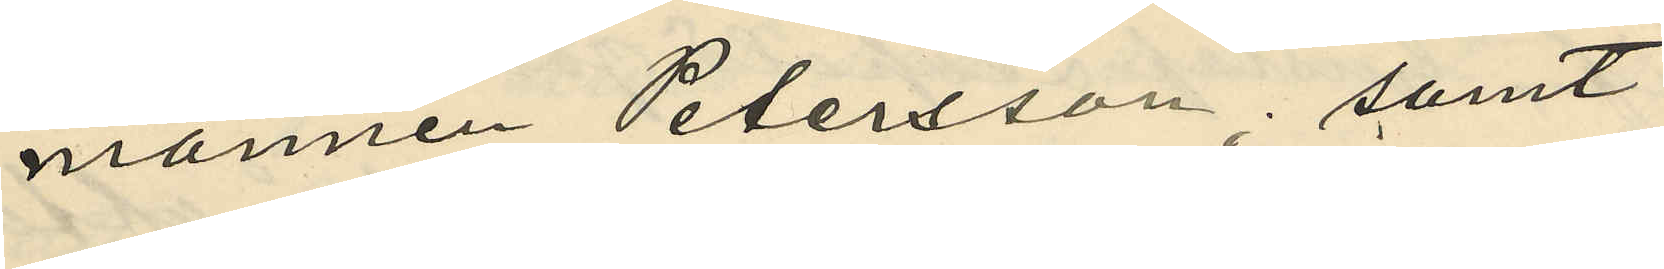mannen Petersson; samt
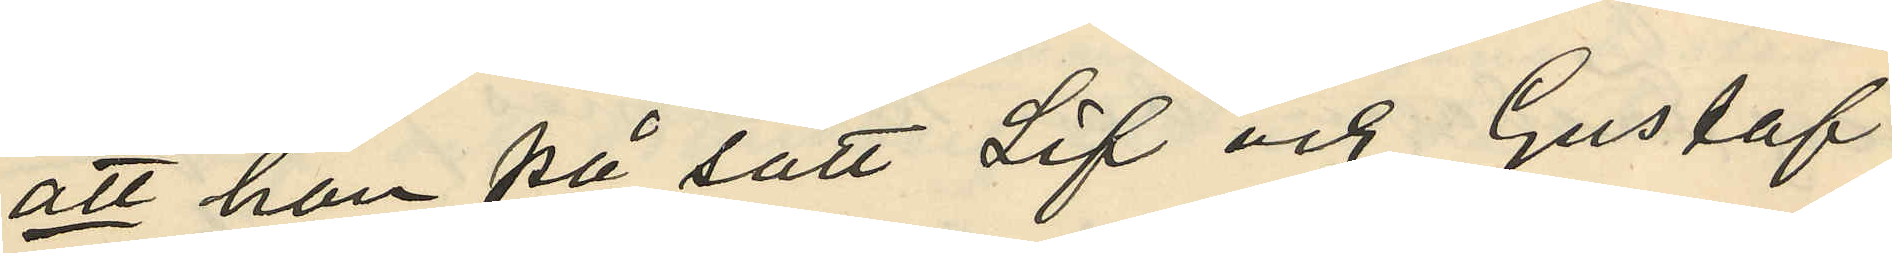att han på sätt Lif och Gustaf
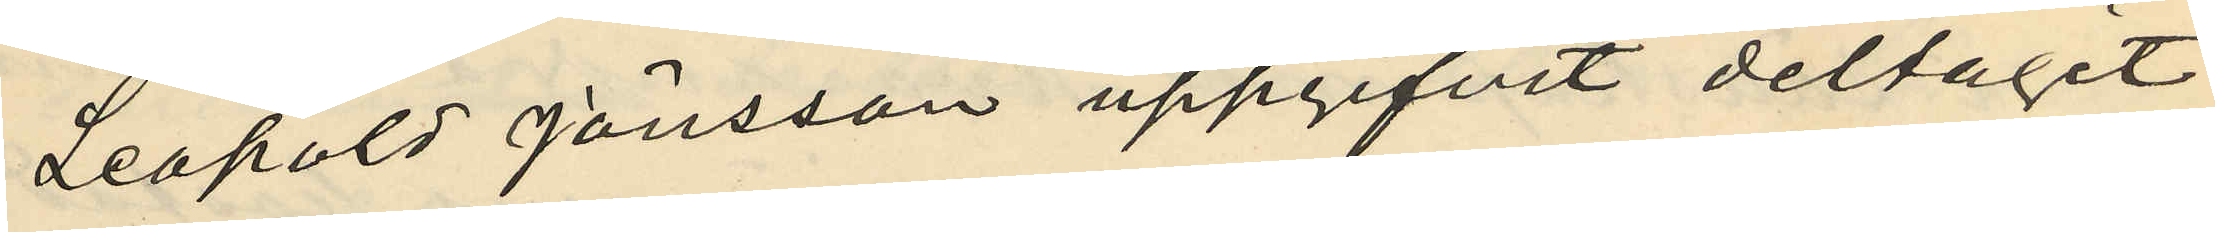Leopold Jönsson uppgifvit deltagit
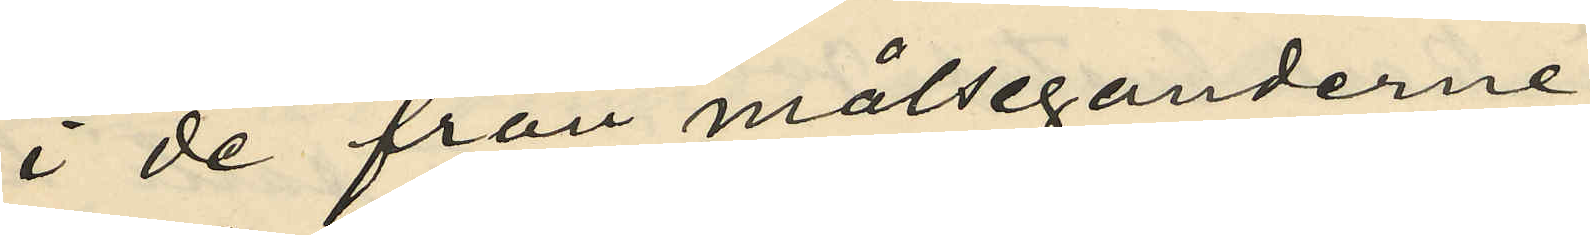i de från målseganderne
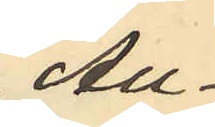Au¬
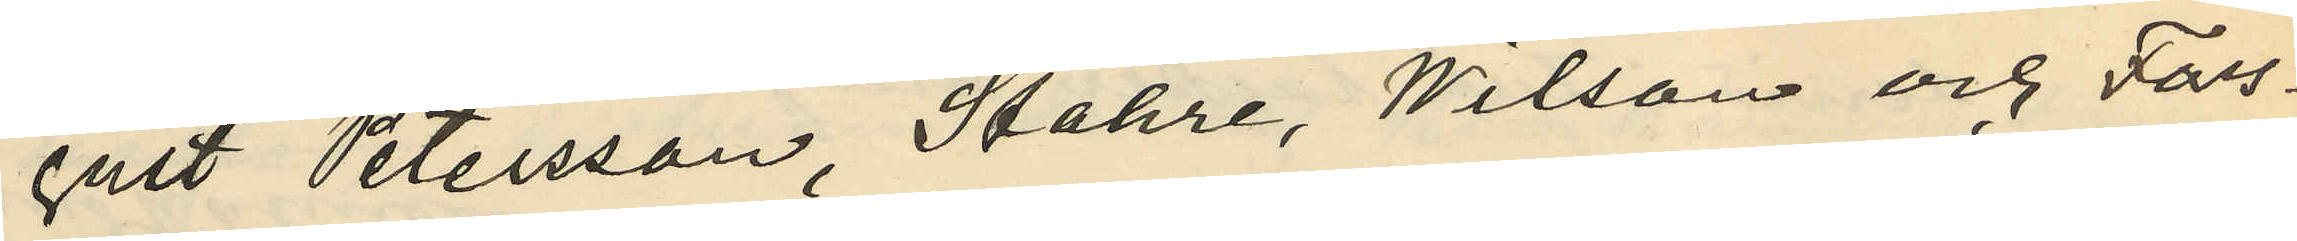gust Petersson, Stahre, Wilson och Fors¬
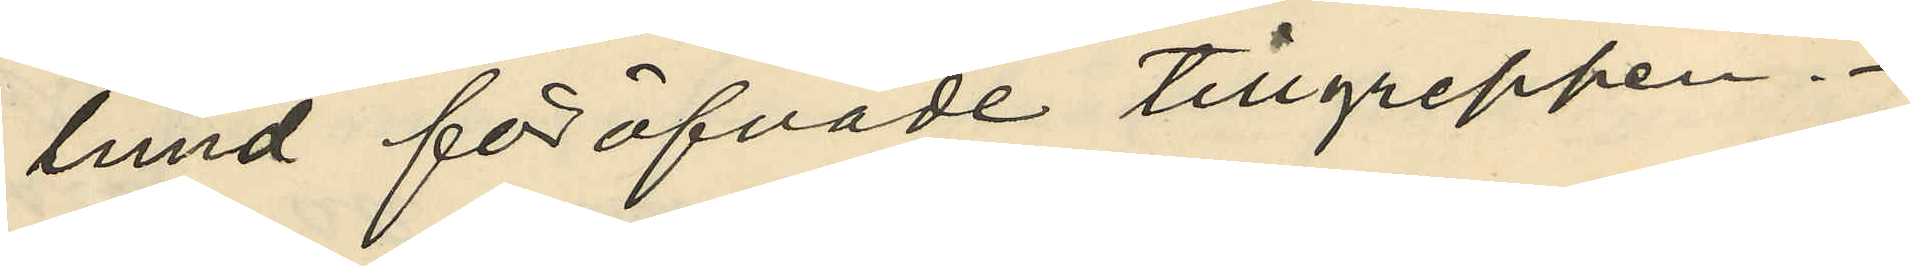lund föröfvade tillgreppen.
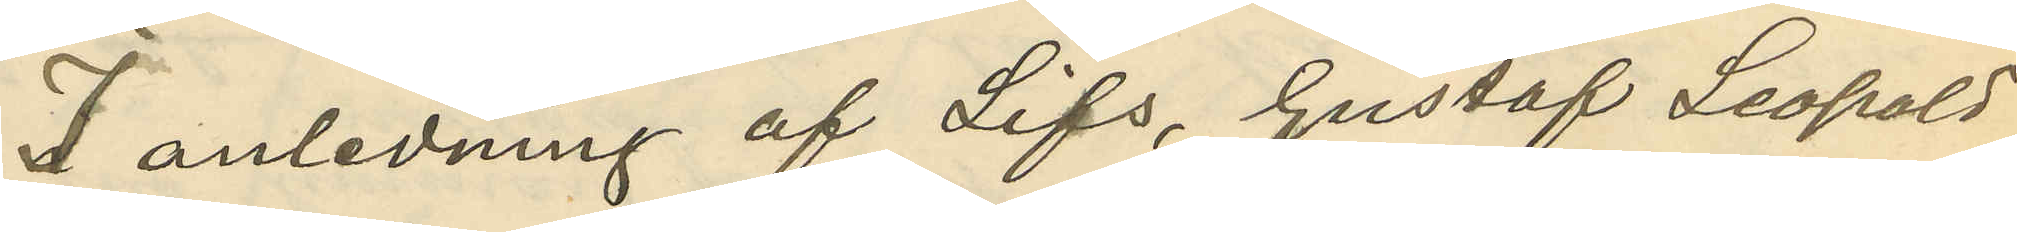I anledning af Lifs, Gustaf Leopold
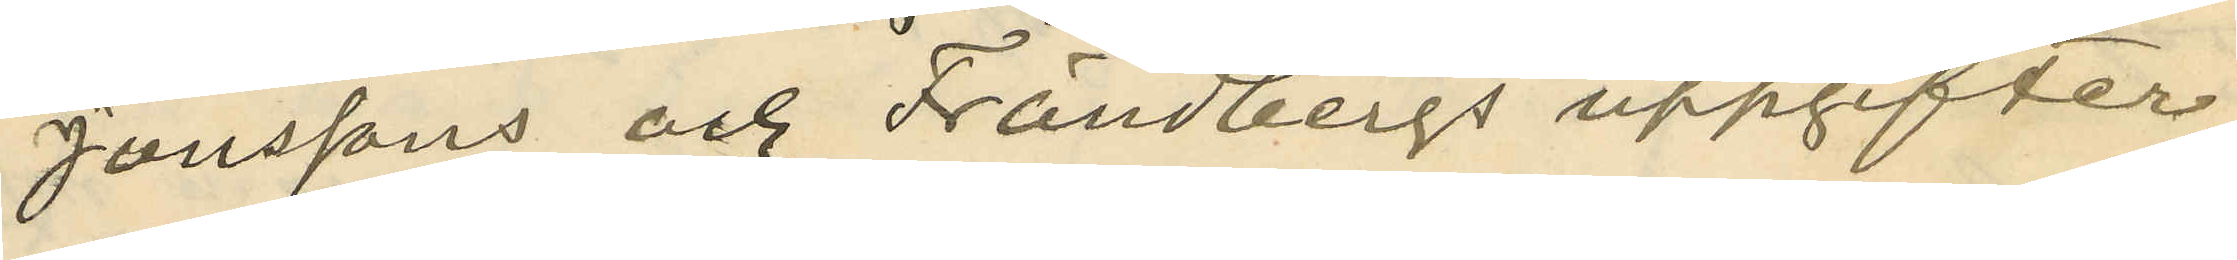Jönssons och Frändbergs uppgifter
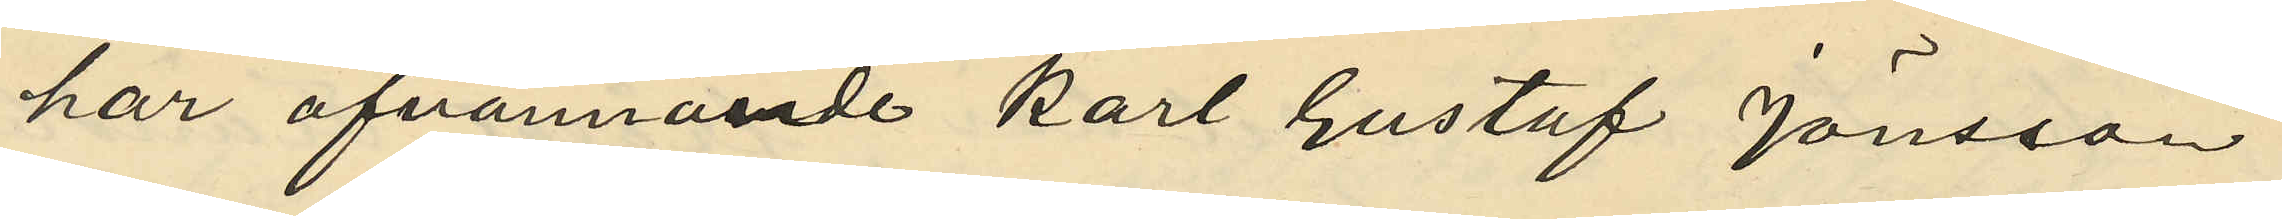har ofvannände Karl Gustaf Jönsson
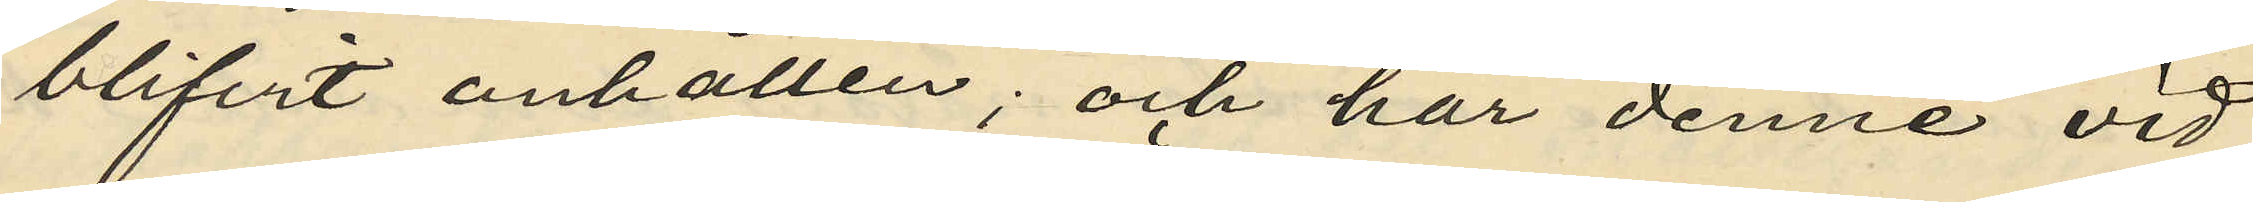blifvit anhållen; och har denne vid
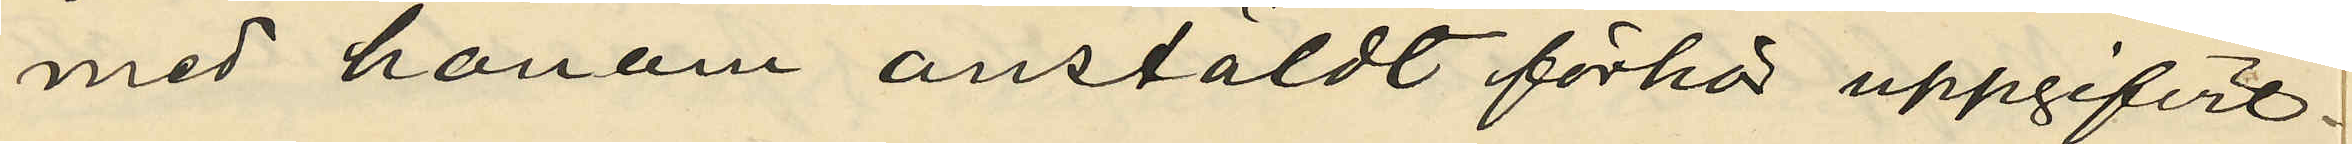med honom anstäldt förhör uppgifvit.
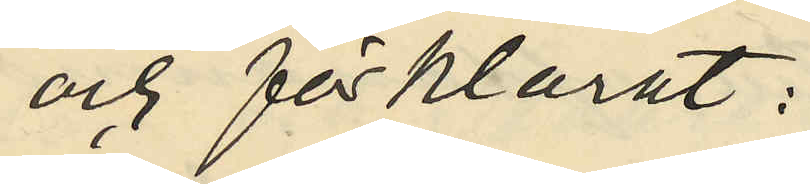och förklarat:
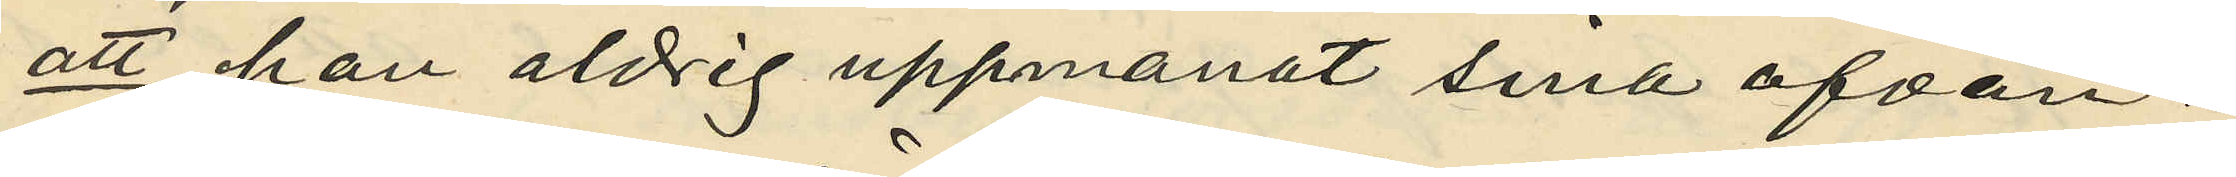att han aldrig uppmanat sina ofvan¬
